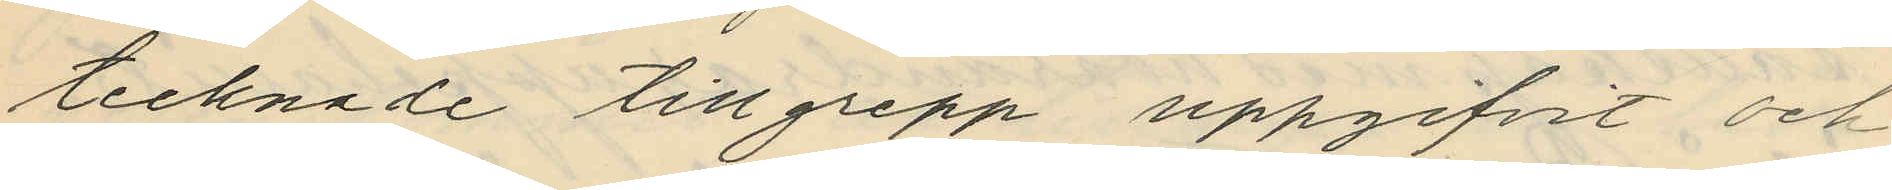tecknade tillgrepp uppgifvit och
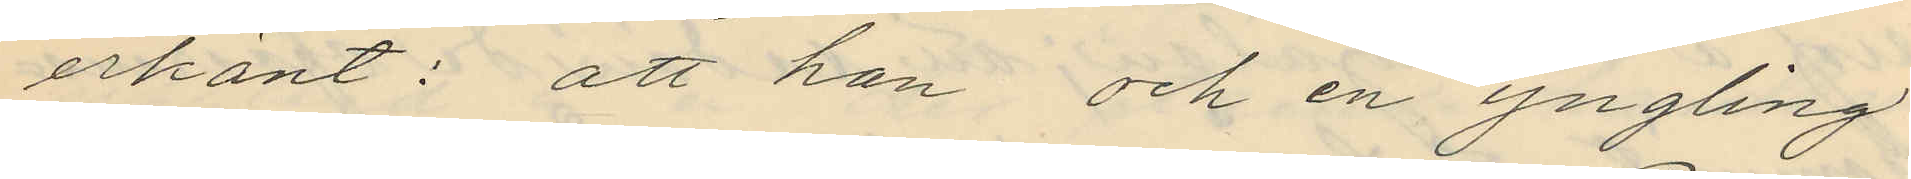erkänt: att han och en yngling
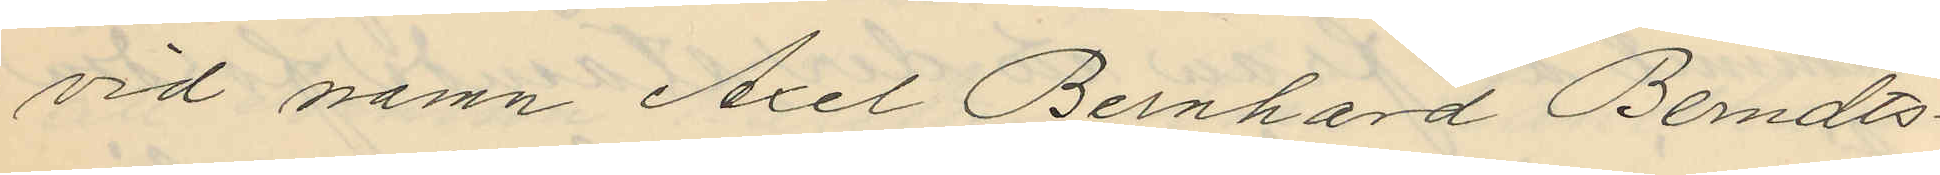vid namn Axel Bernhard Berndts¬
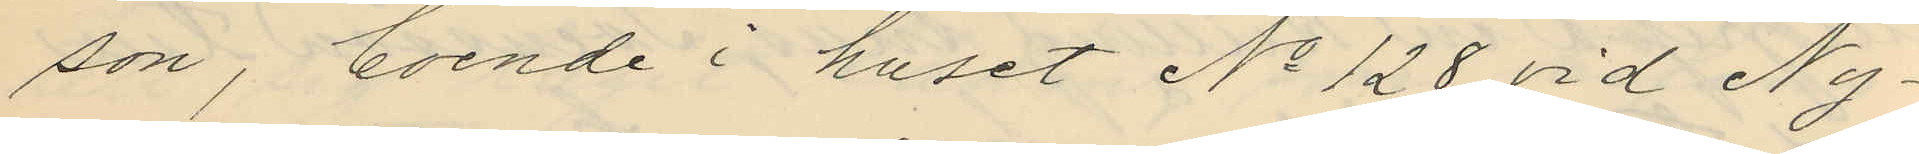son, boende i huset No 128 vid Ny¬
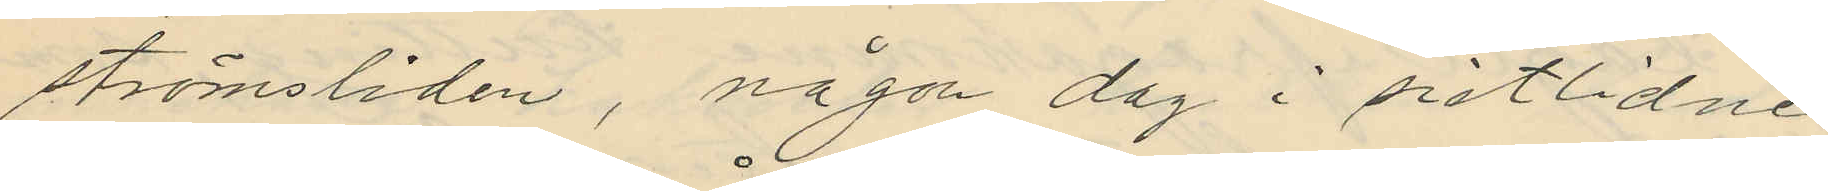strömsliden, någon dag i sistlidne
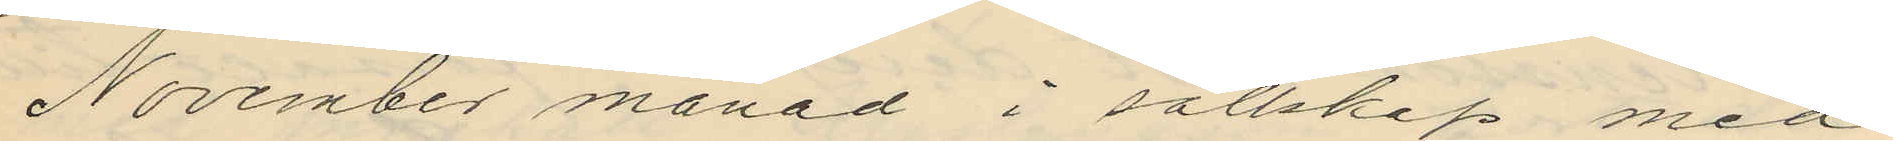November månad i sällskap med
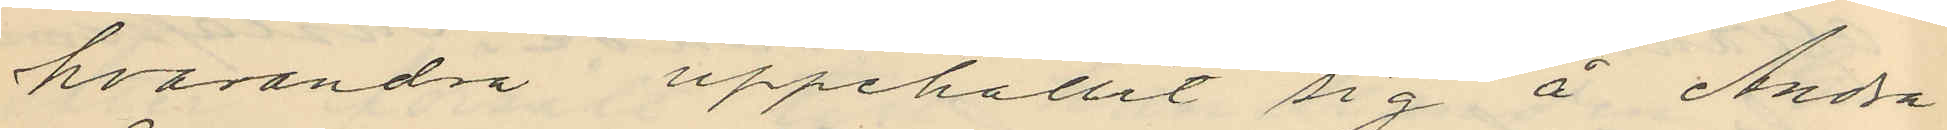hvarandra uppehållit sig å Andra
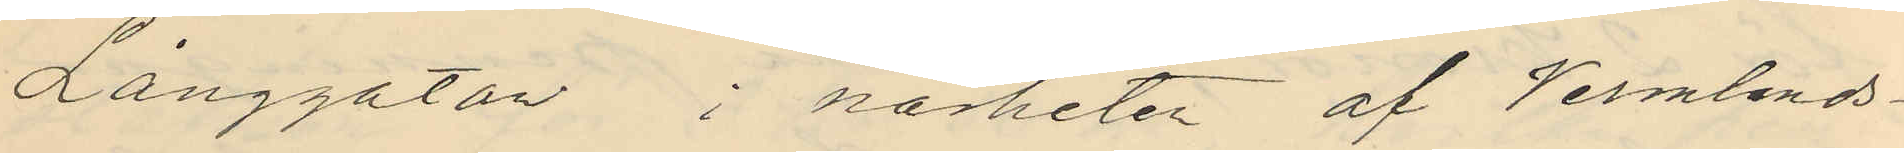Långgatan i närheten af Vermlands¬
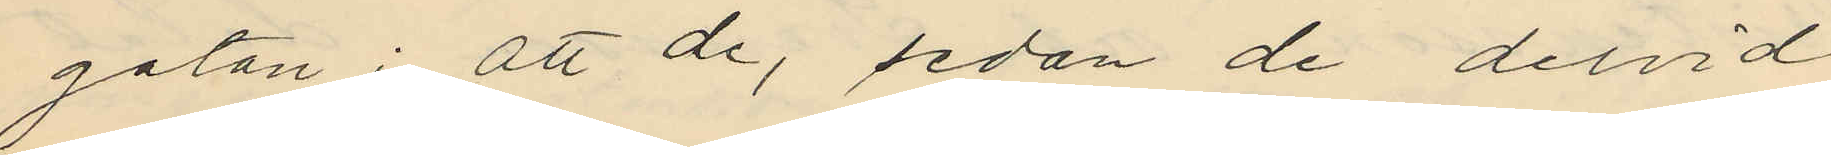gatan; att de, sedan de dervid
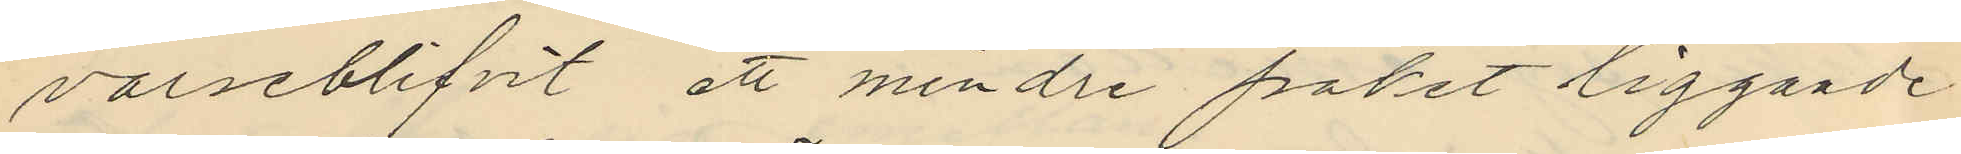varseblifvit ett mindre paket liggande
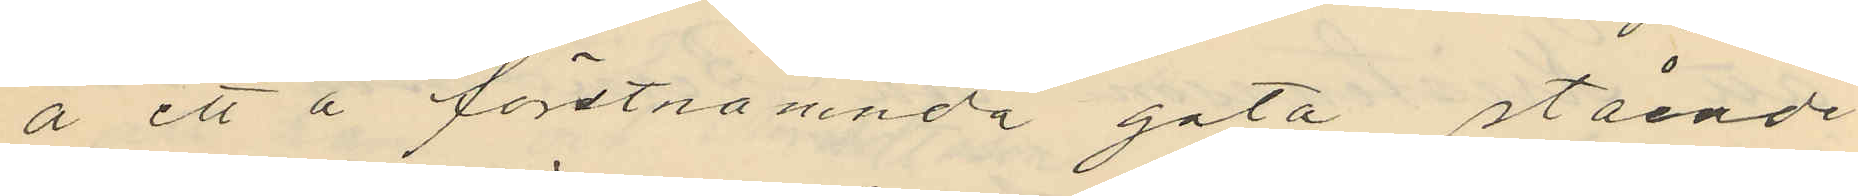å ett å förstnämnda gata stående
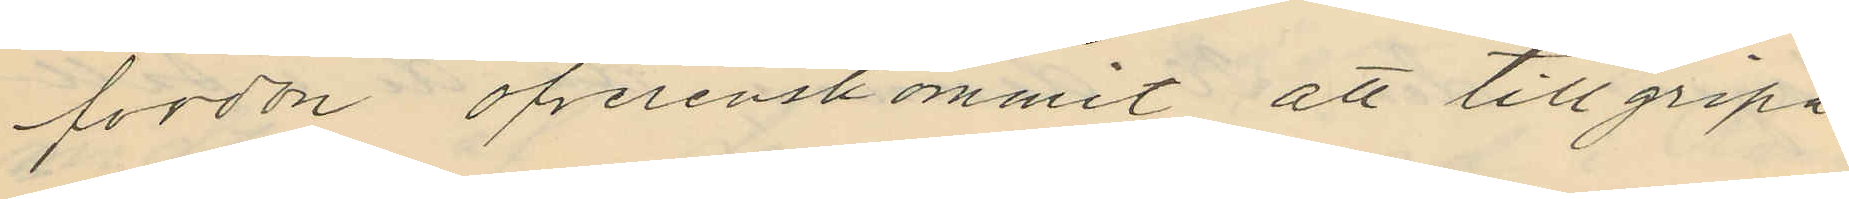fordon öfverenskommit att tillgripa
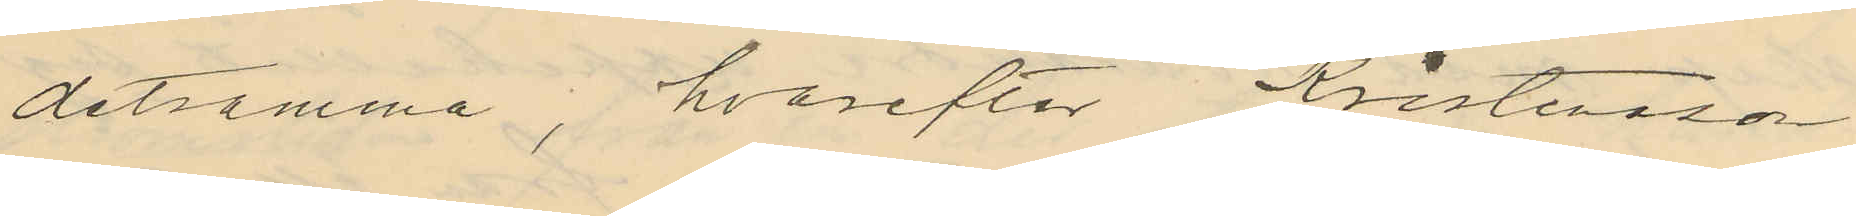detsamma; hvarefter Kristensson
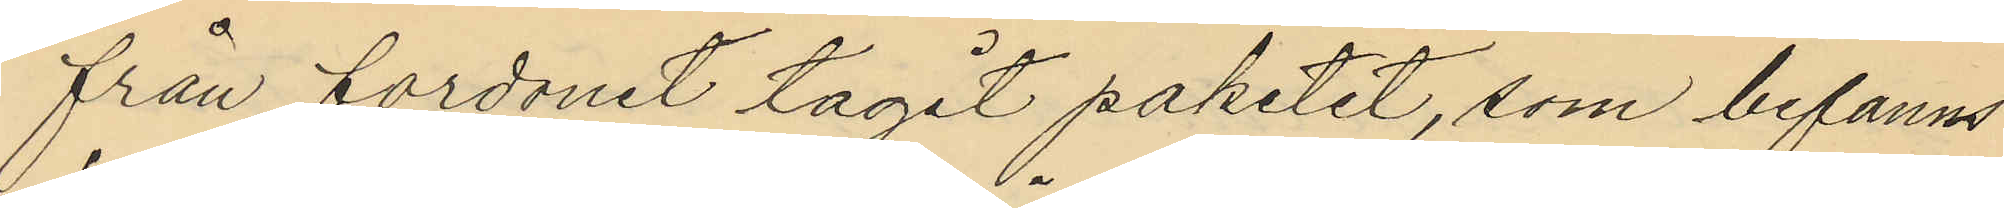från fordonet tagit paketet, som befanns
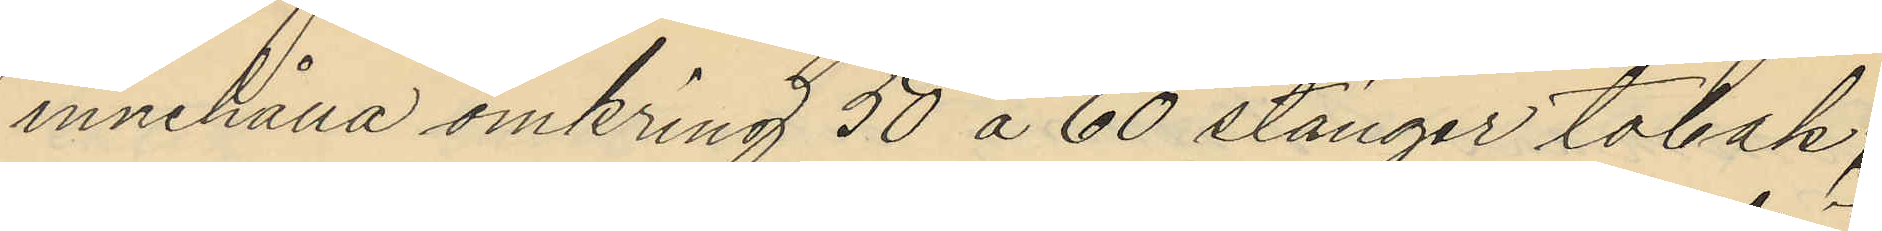innehålla omkring 50 å 60 stänger tobak;
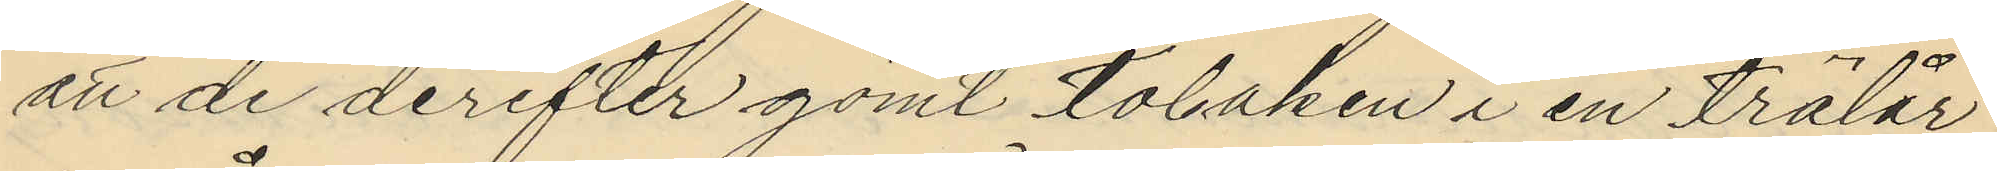att de derefter gömt tobaken i en trälår
